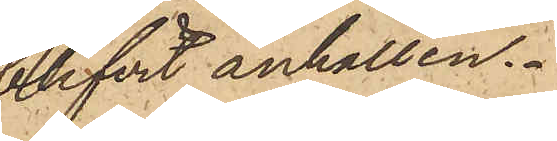blifvit anhållen.
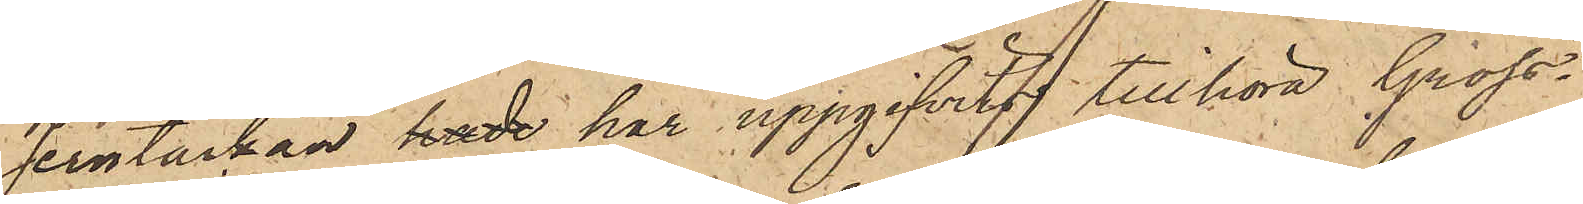Jerntackan hade har uppgifvits tillhöra Gross¬
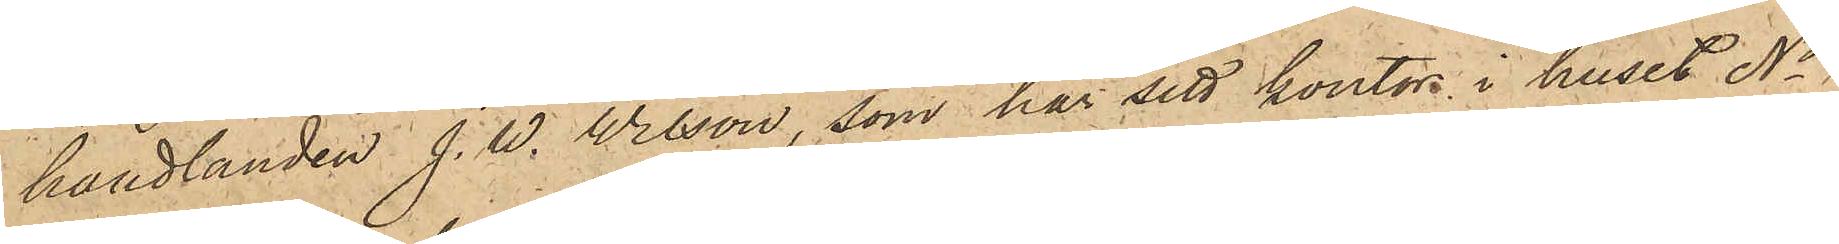handlanden J. W. Wilson, som har sitt kontor i huset No
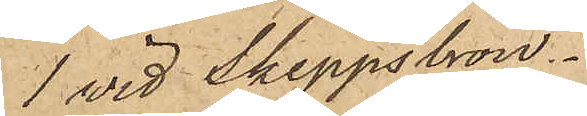1 vid Skeppsbron.
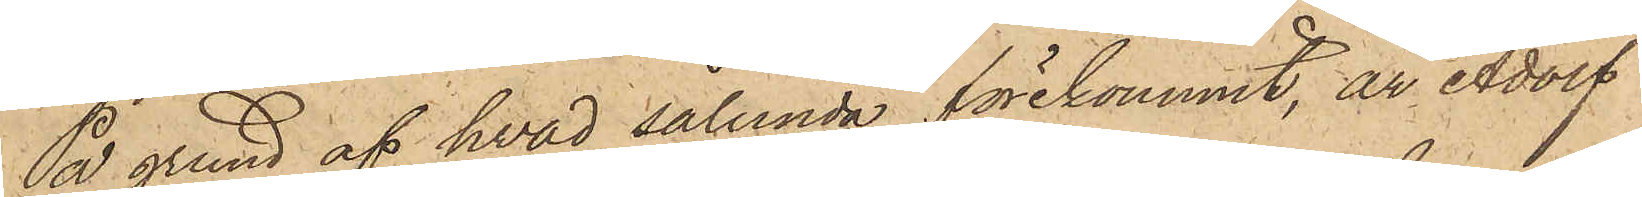På grund af hvad sålunda förekommit, är Adolf
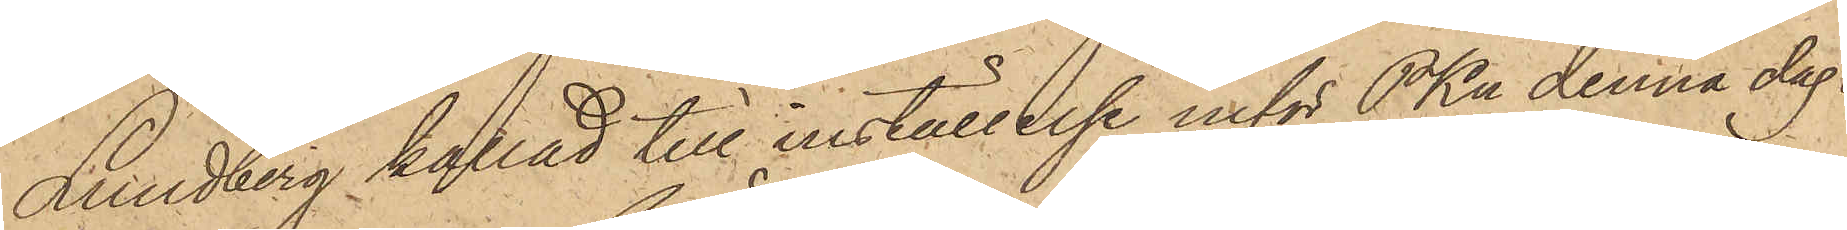Lundberg kallad till inställelse inför PKn denna dag.
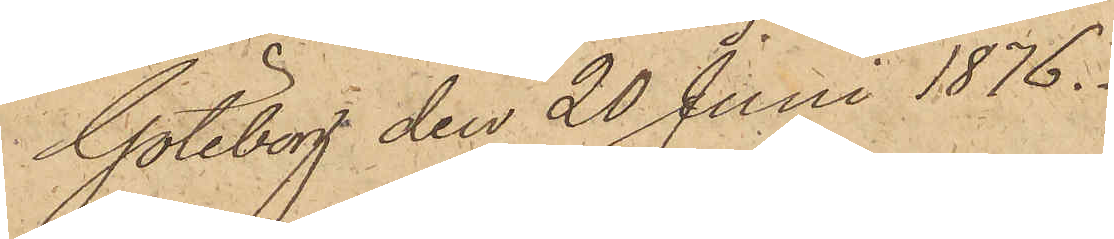Göteborg den 20 Juni 1876.
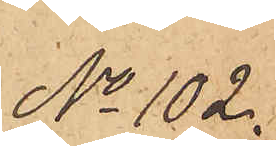No 102.
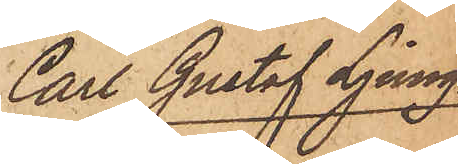Carl Gustaf Ljung¬
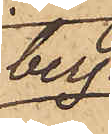berg.
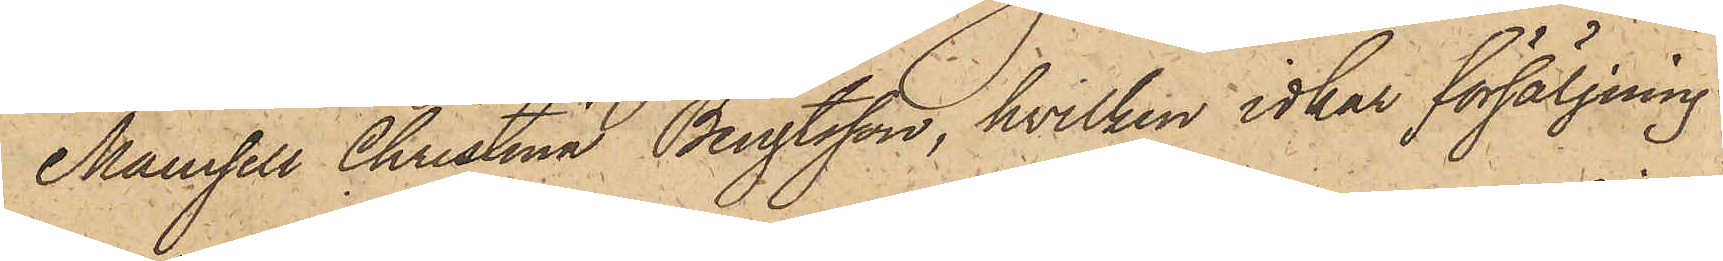Mamsell Christina Bengtsson, hvilken idkar försäljning
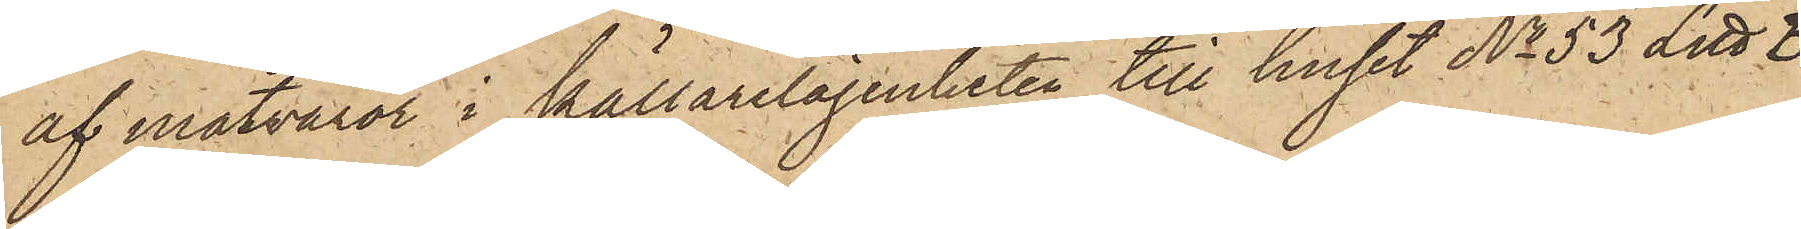af matvaror i källarelägenheten till huset No 53 Litt. B
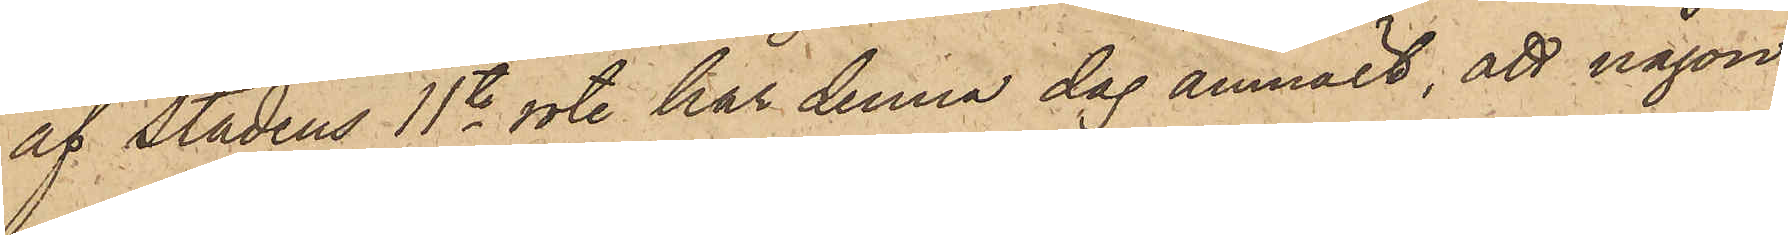af Stadens 11te rote har denna dag anmält, att någon
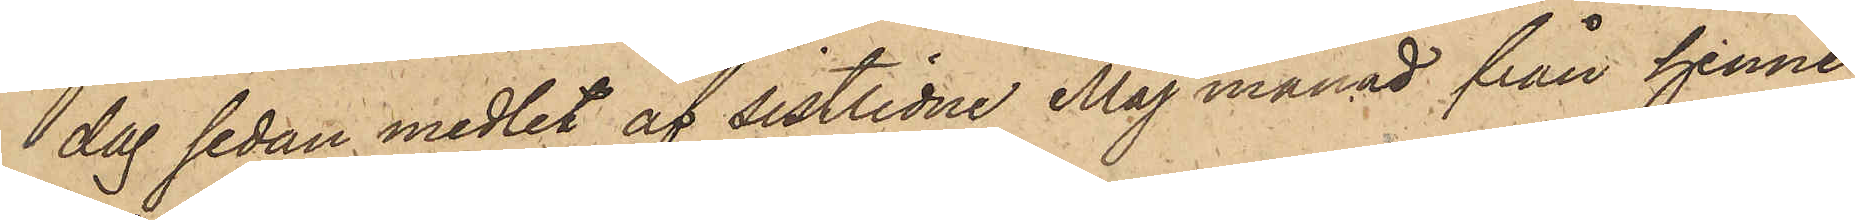dag sedan medlet af sistlidne Maj månad från henne
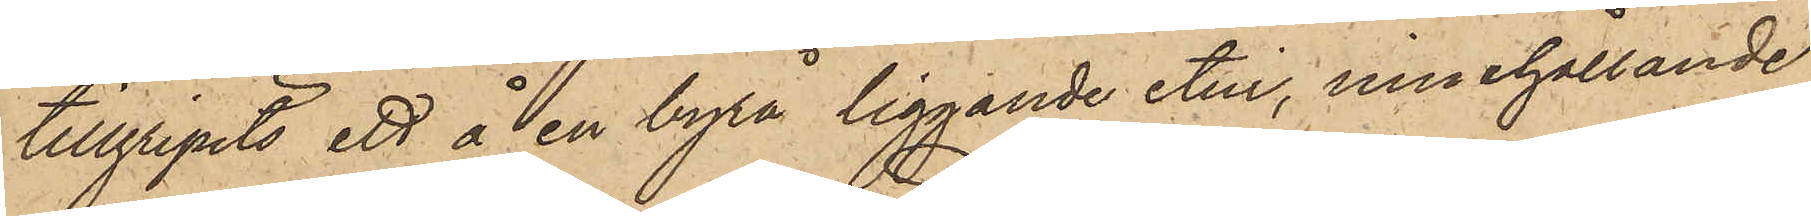tillgripits ett å en byrå liggande etui, innehållande
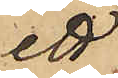ett
